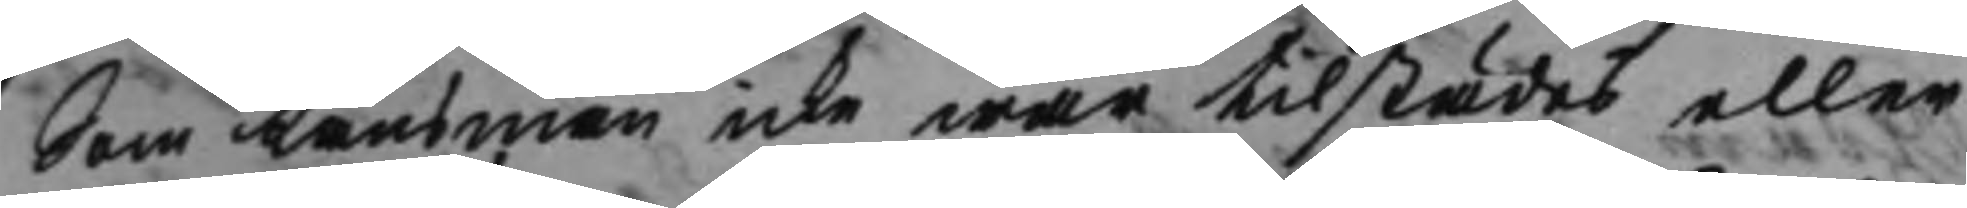Som Länsman icke war tillstädes eller
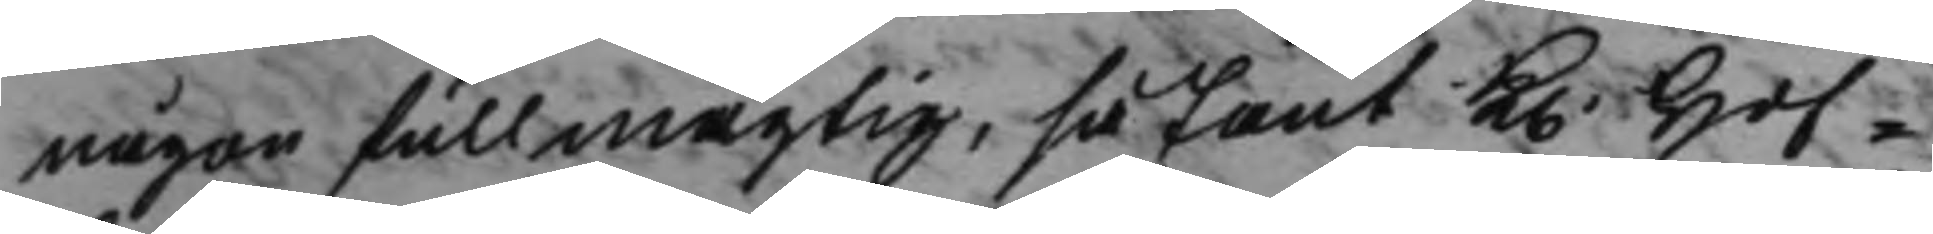någon fullmägtig, så fant K. Hof¬
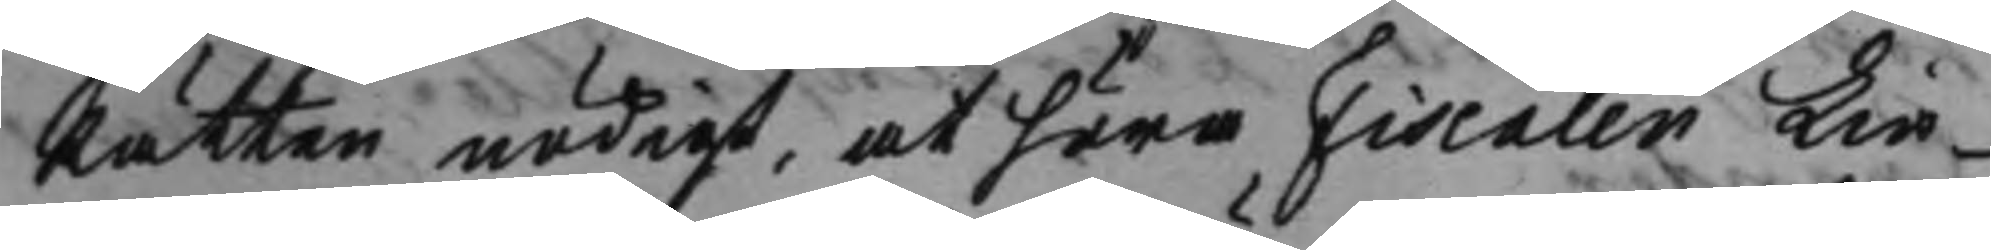Rätten nödigt, at höra Fiscalen Lin¬
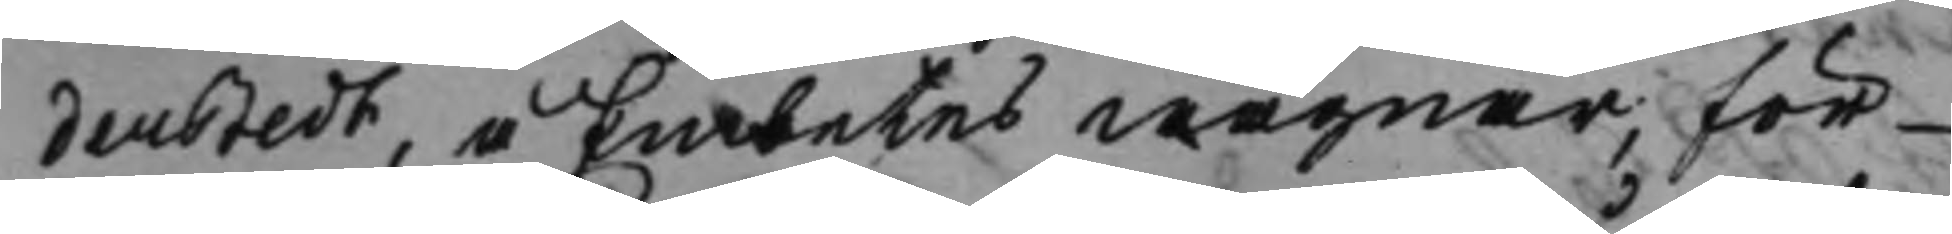derstedt, å Embetes wägnar, för
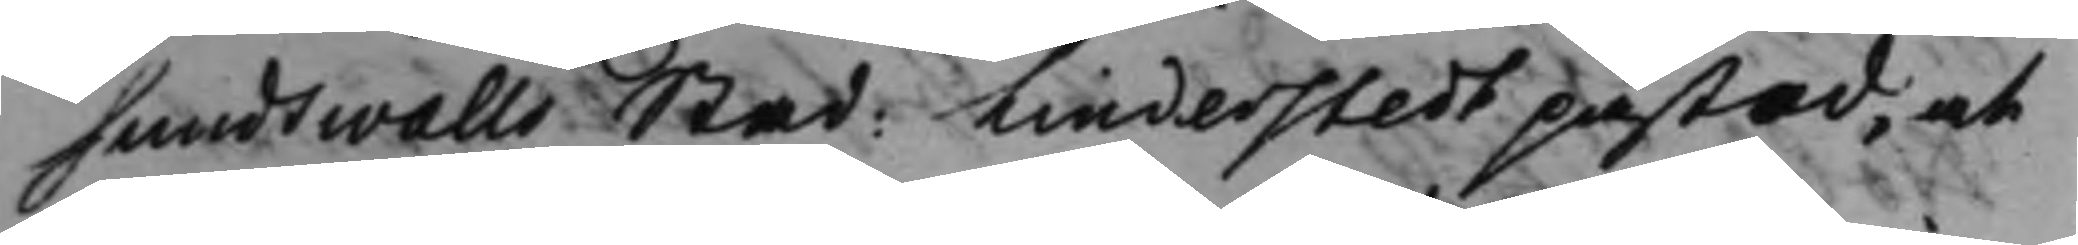Sundswalls Stad: Linderstedt påstod, at
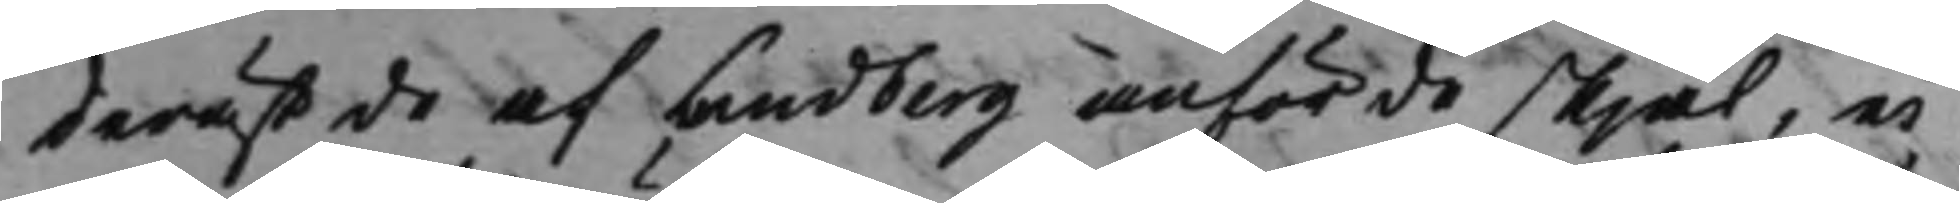därest de af Lundberg anförde skjäl, ei
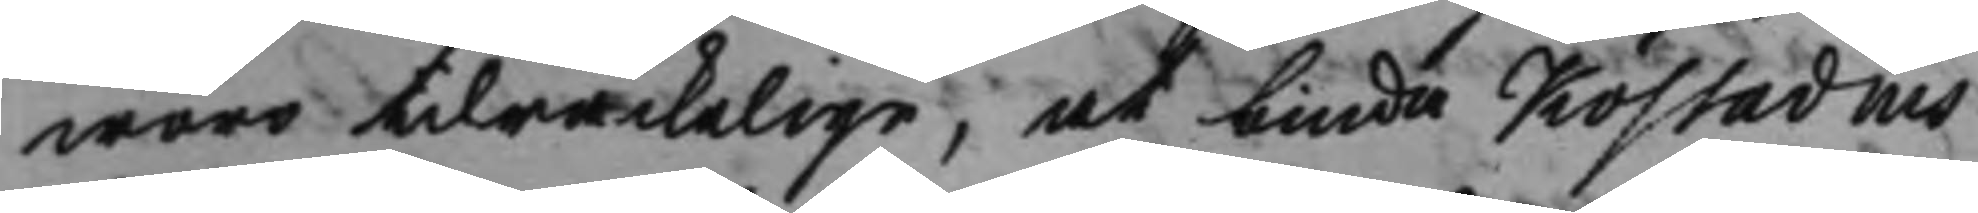woro tilräckelige, at binda Köstadius
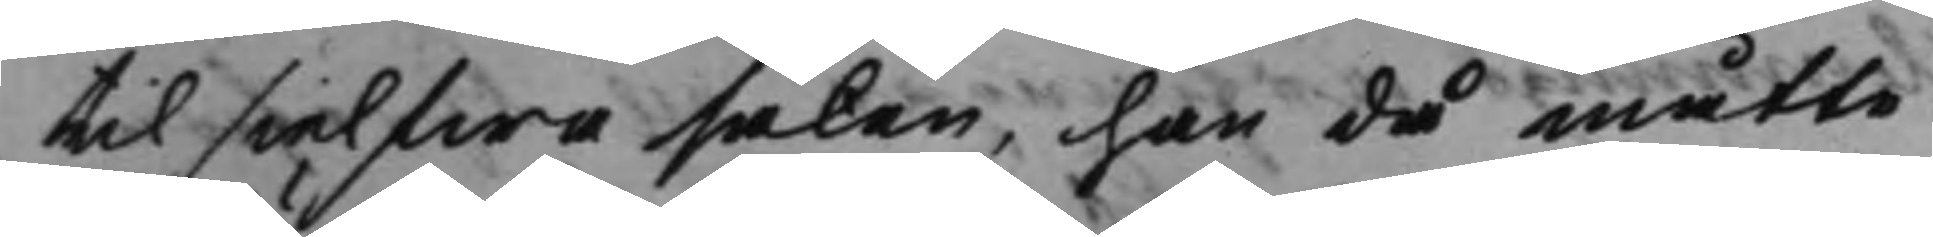til sielfwa saken, han då måtte
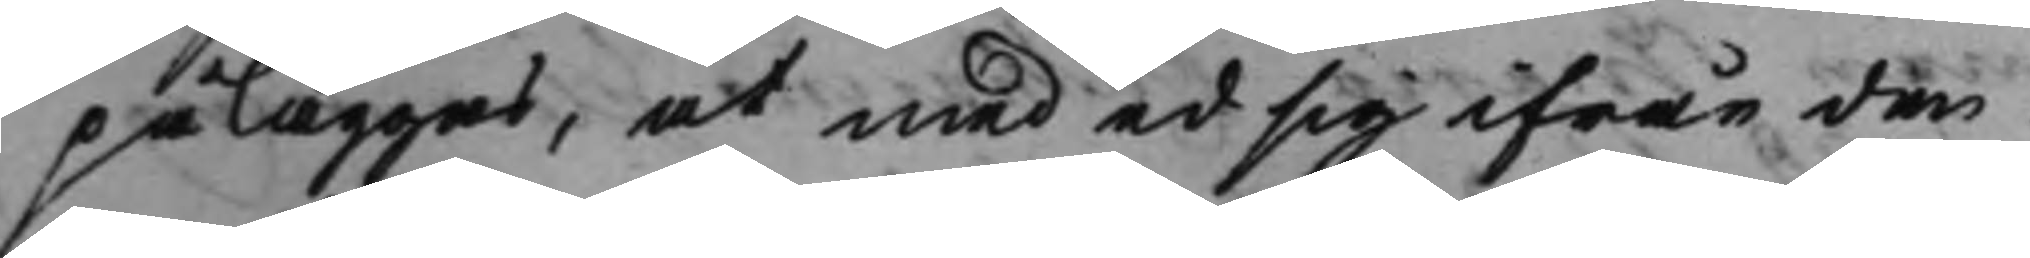påläggas, at med ed sig ifrån den
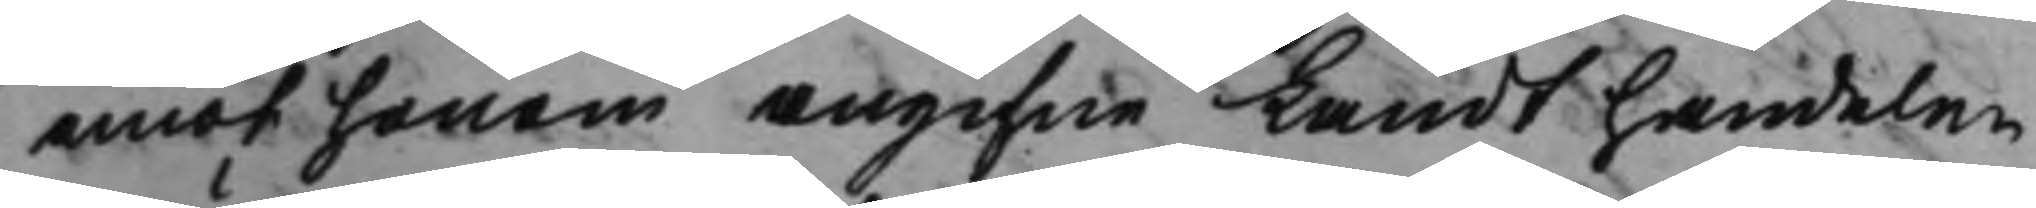emot honom angifne Landthandelen
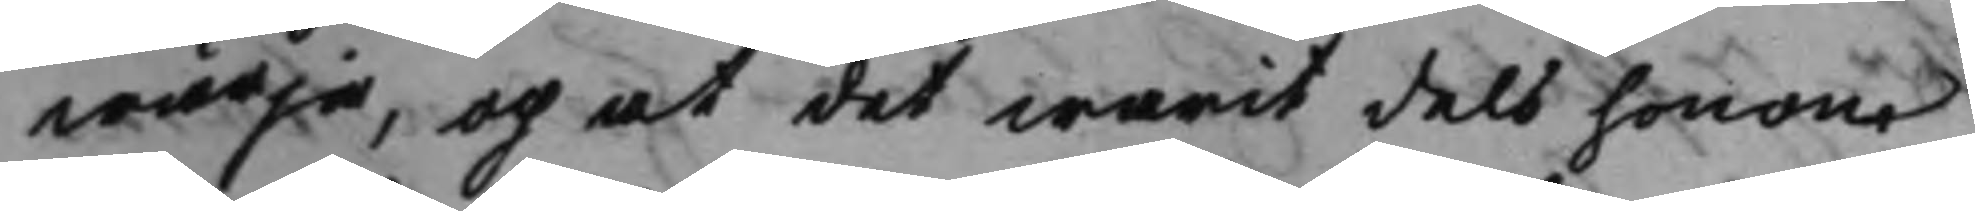wärja, och at det warit dels honom
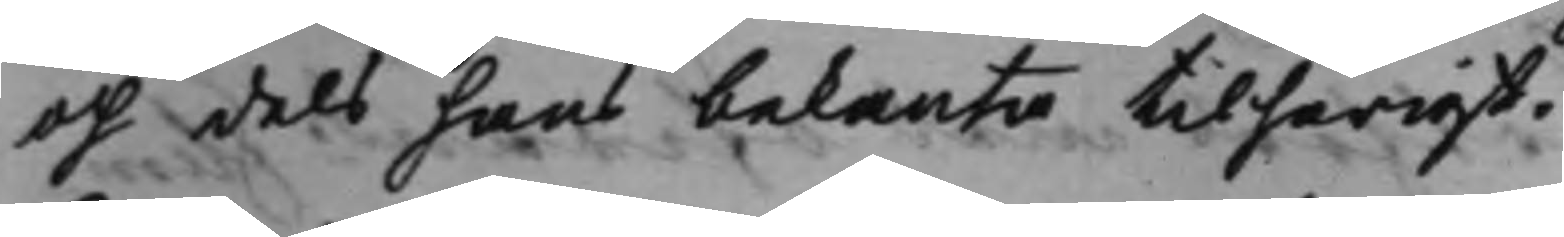och dels hans bekanta tilhörigt.
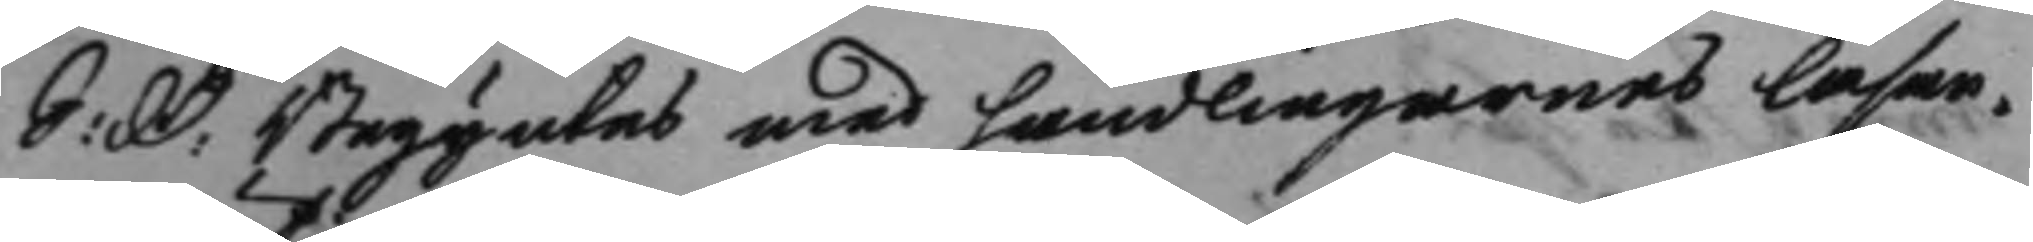S: D: Begyntes med handlingarnes läsan¬ 
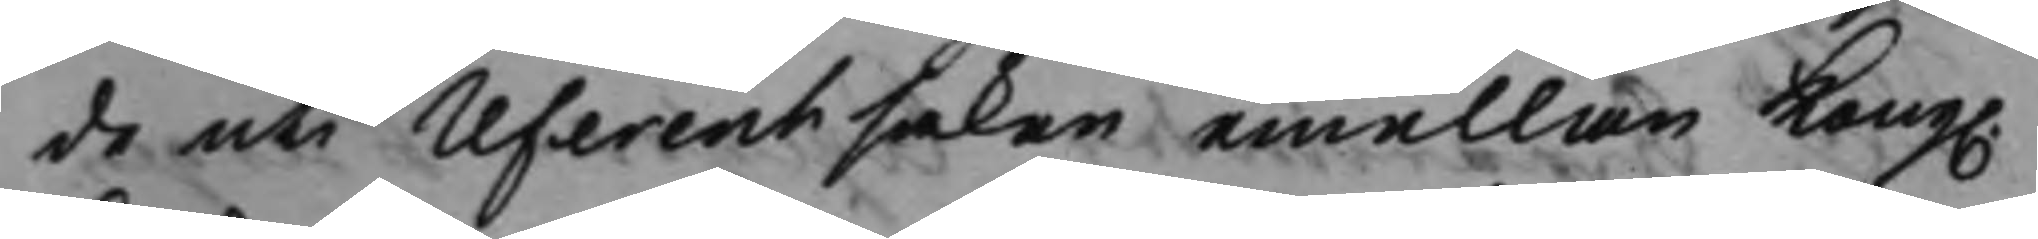de uti referentsaken emellan Kong. 
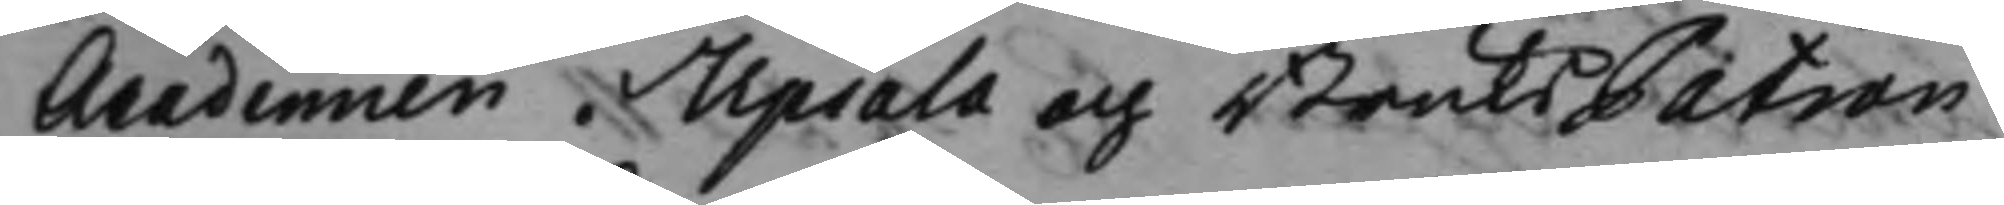Academien i Upsala och BruksPatron
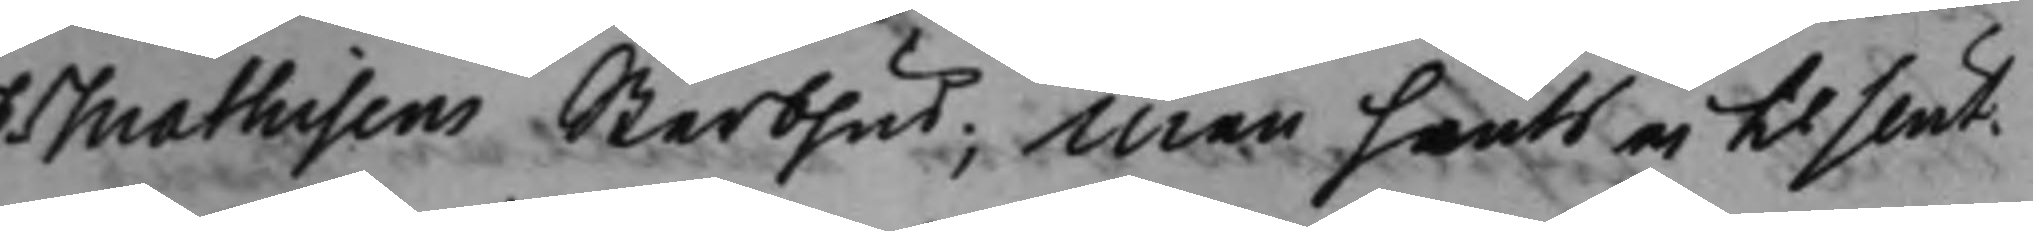Mathisens Sterbhus; Men hants ei til slut.
